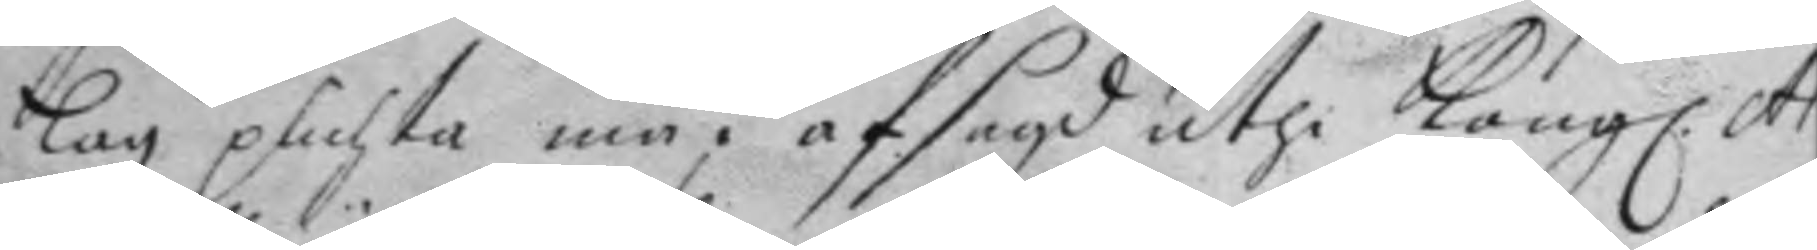Lag plichta må, afsagd uthi Kong. Ar¬
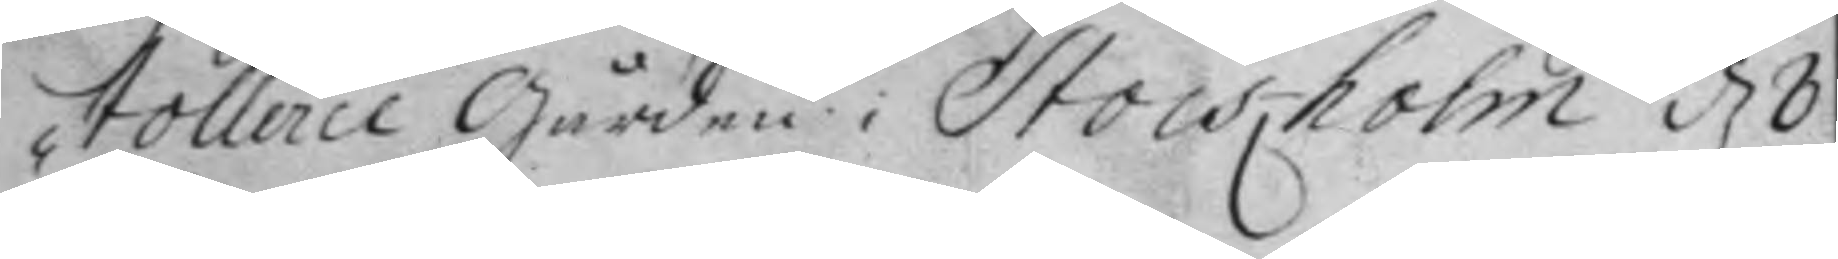tollerie Gården i Stockholm d 8
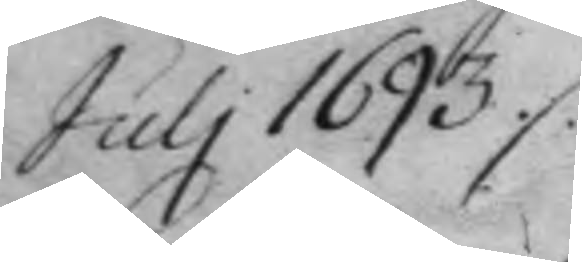July 1693./.
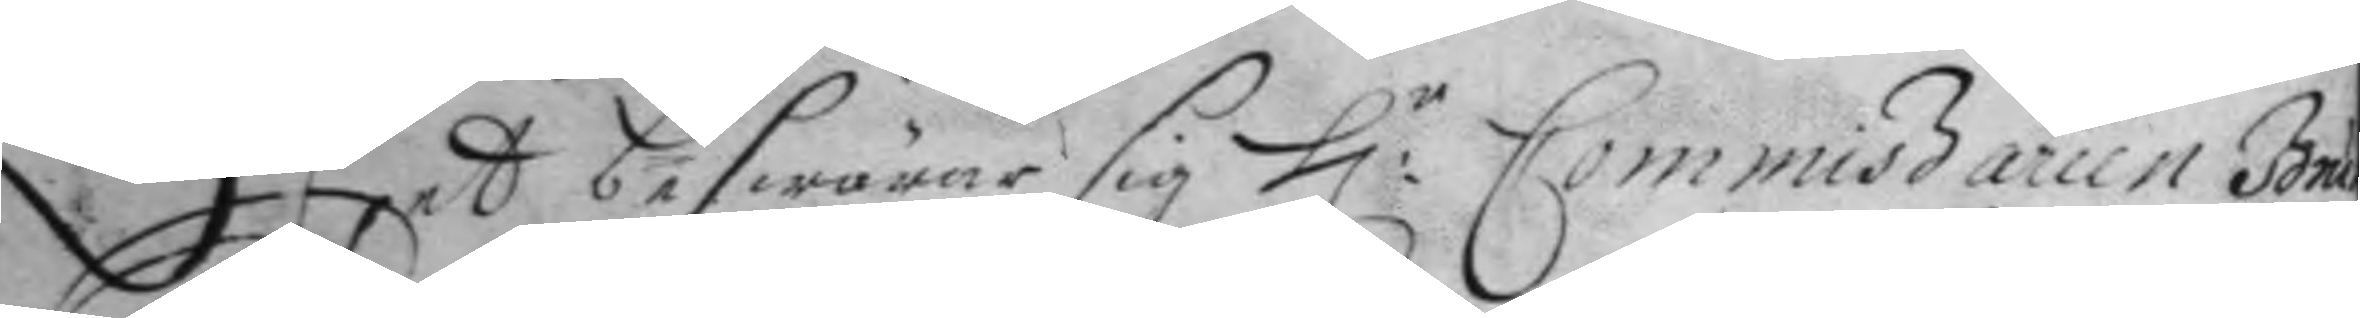Det beswärar sig H:r Commissarien Brun¬
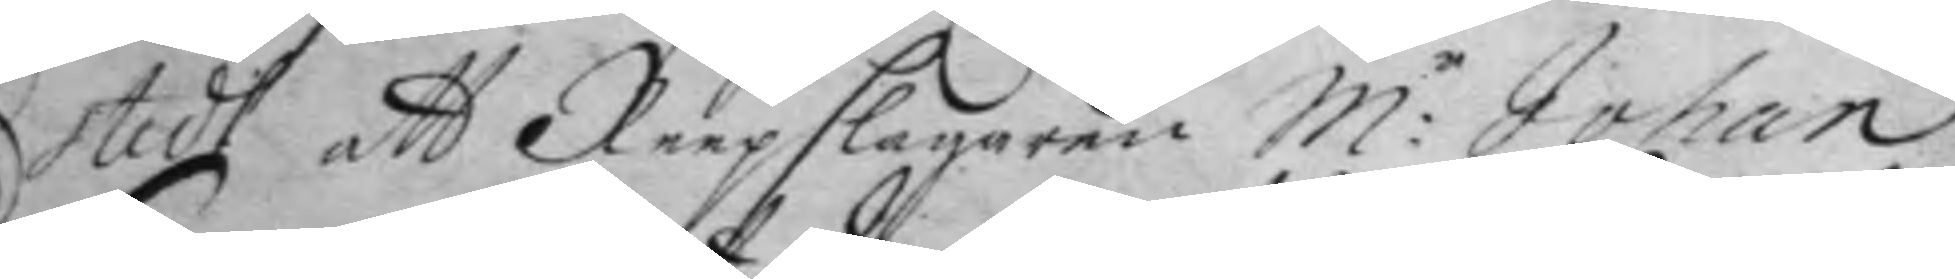stedt att Reepslagaren M:r Johan
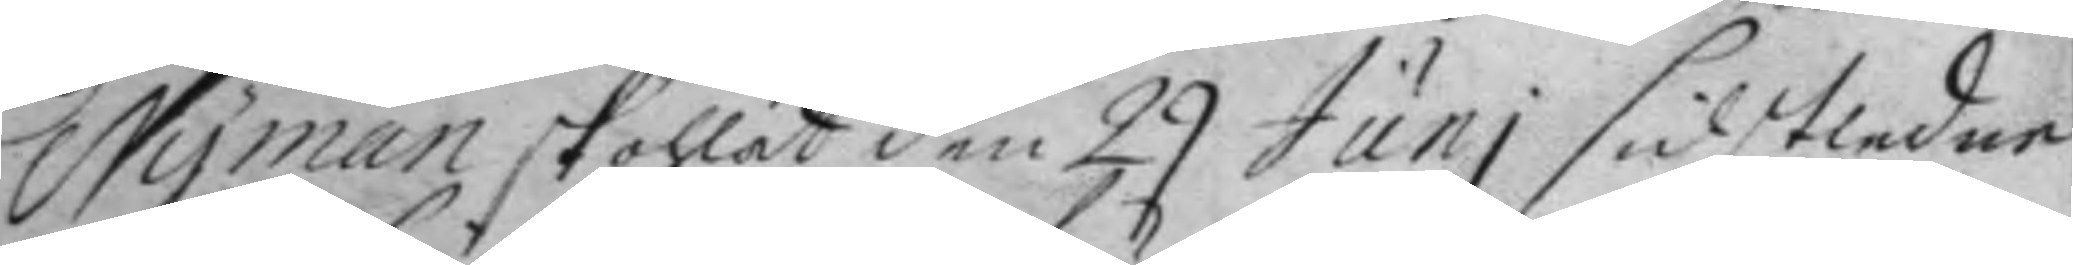Nyman skohlat den 29 Juni sidstledne
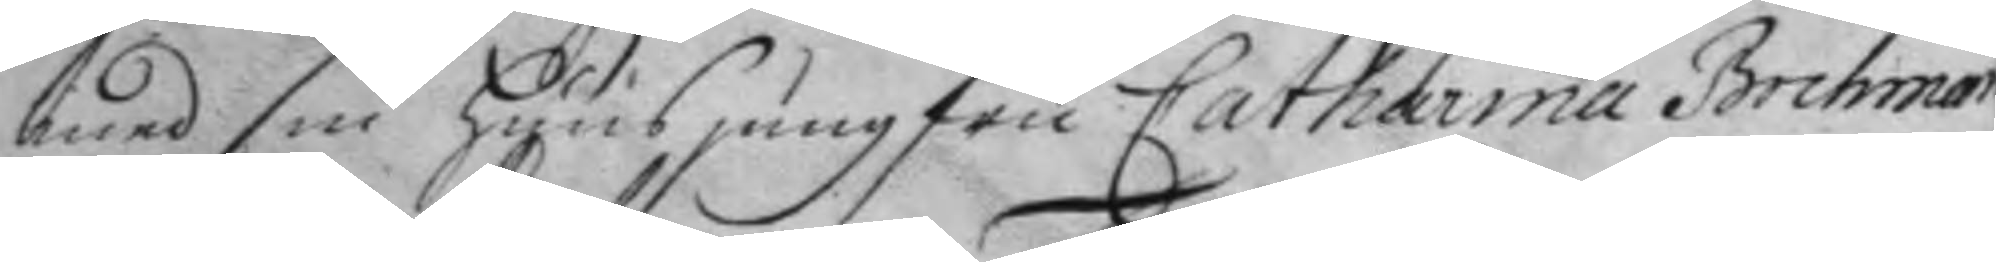med sin huusjungfru Catharina Bochman
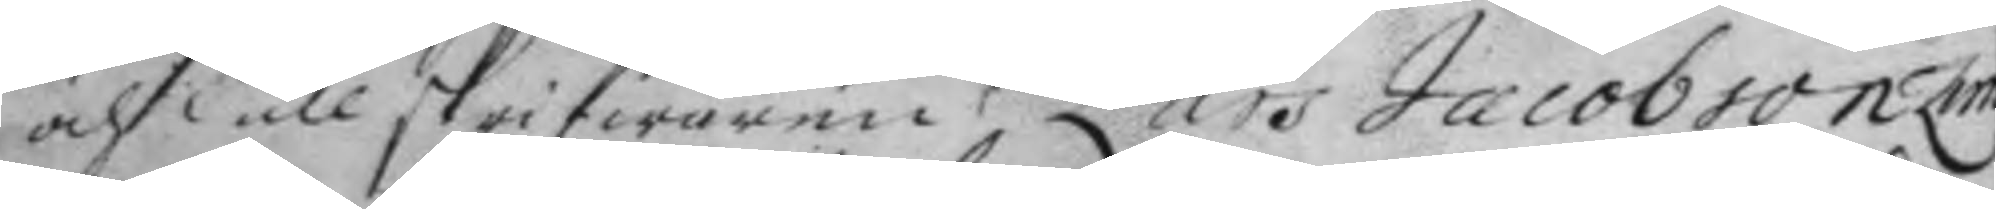och Tullskrifwaren Lars Jacobssom Zim¬
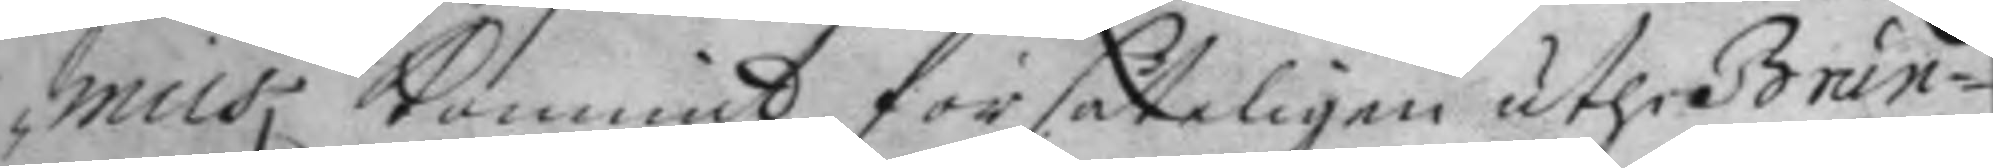mius kommit försåteligen uthi Brun
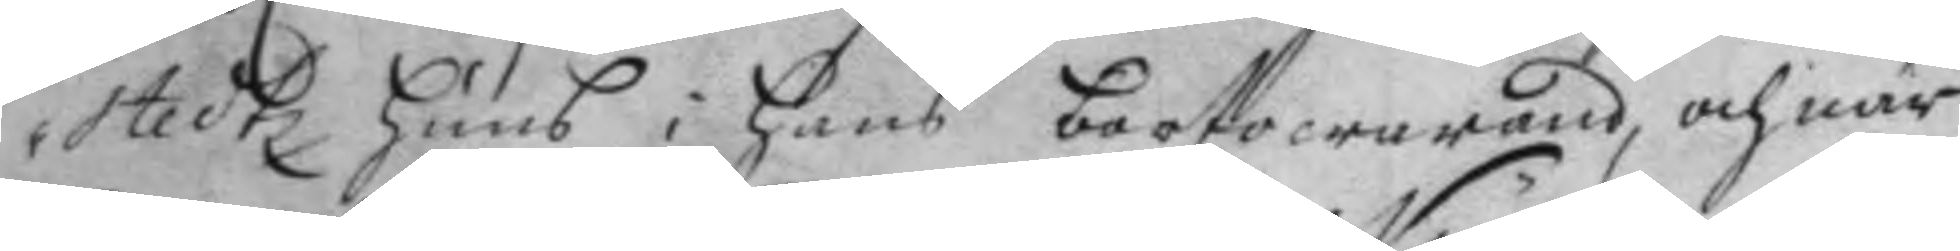stedtz huus i hans bortowarand, och när
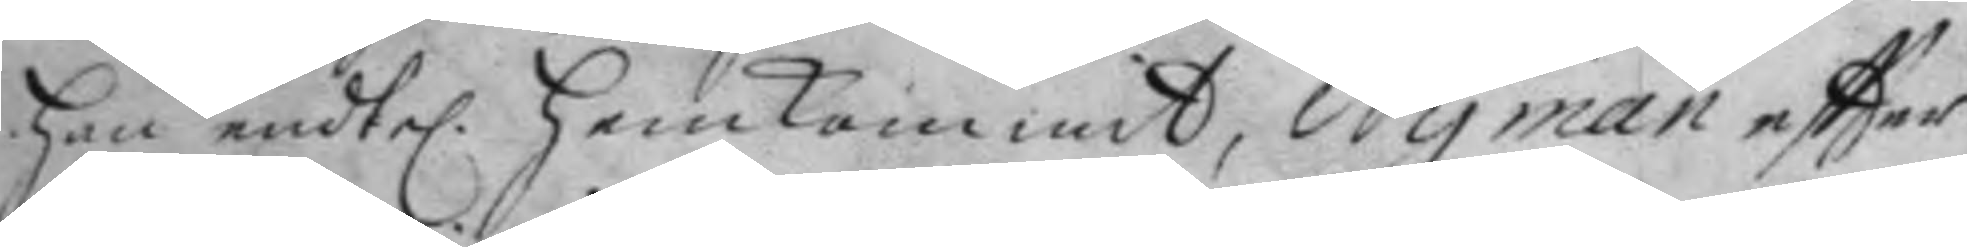han endlel. hemkommit, Nyman eftter
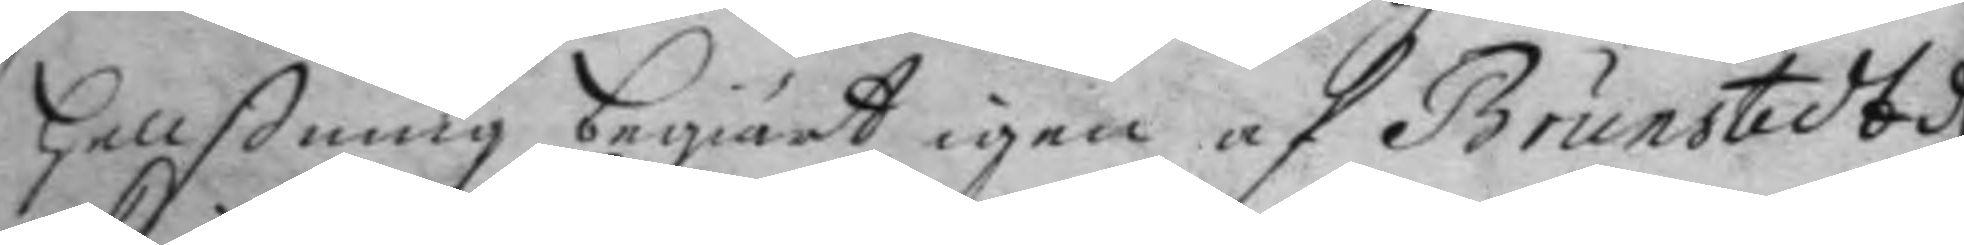hellßning begiärt igen af Brunstedt d
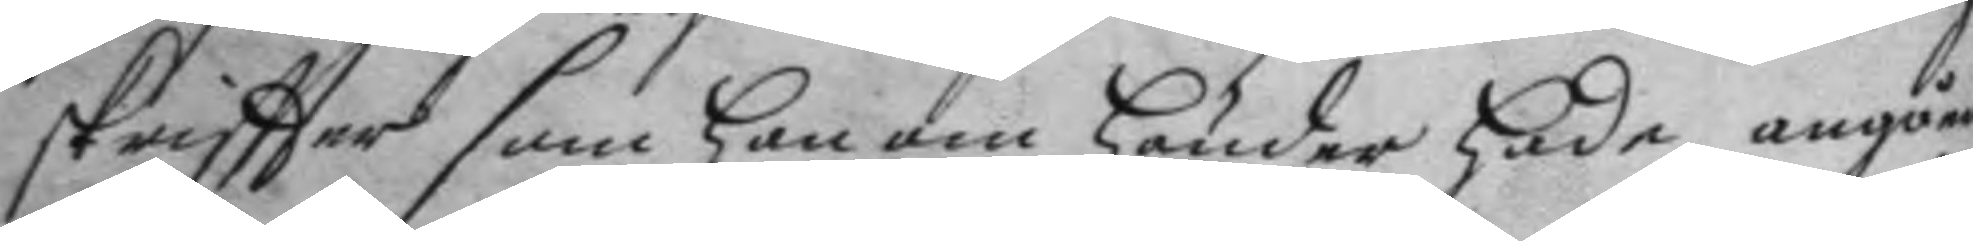skriftter som han om händer hade, angåen¬
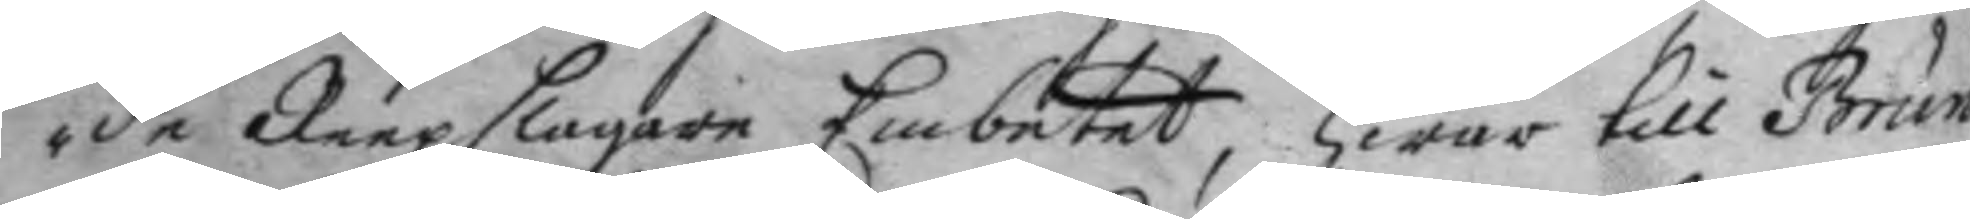de Reepslagare Embetet, hwar till Brun¬
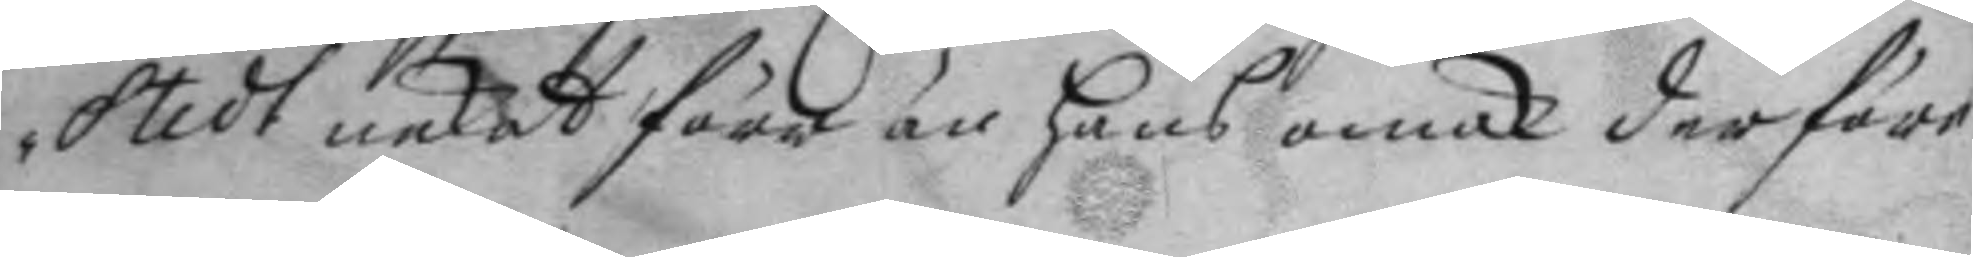stedt nekat förr än hans omak derföre
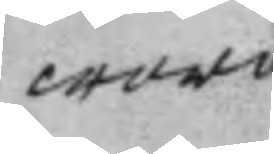woro
